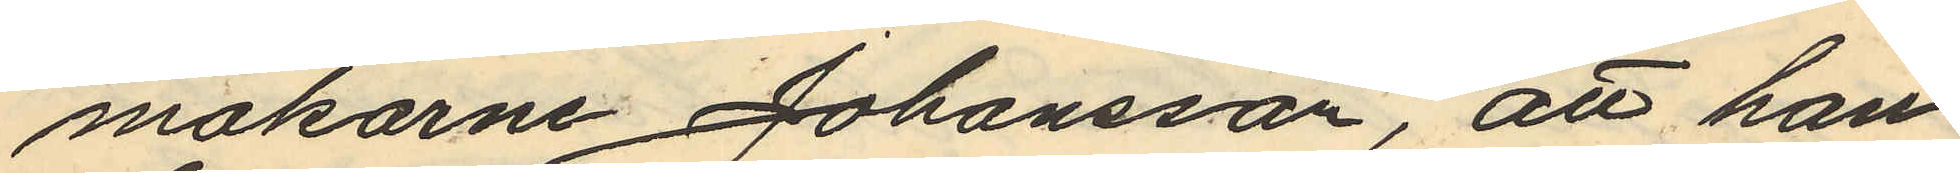makarne Johansson, att han
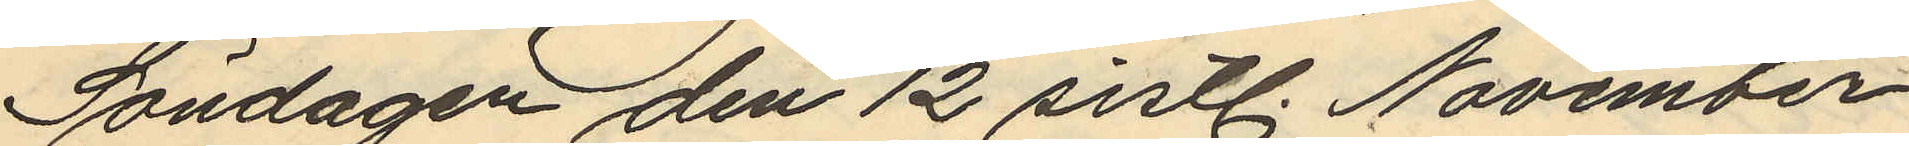Söndagen den 12 sistl. November
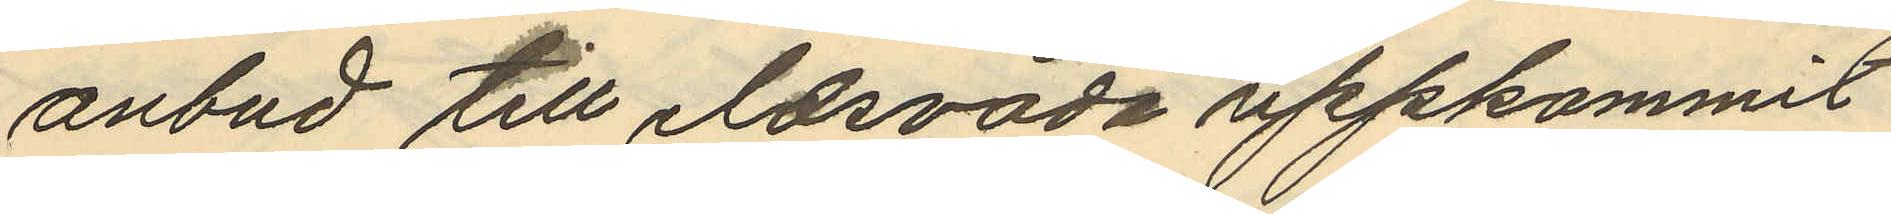anbud till eldsvåda uppkommit
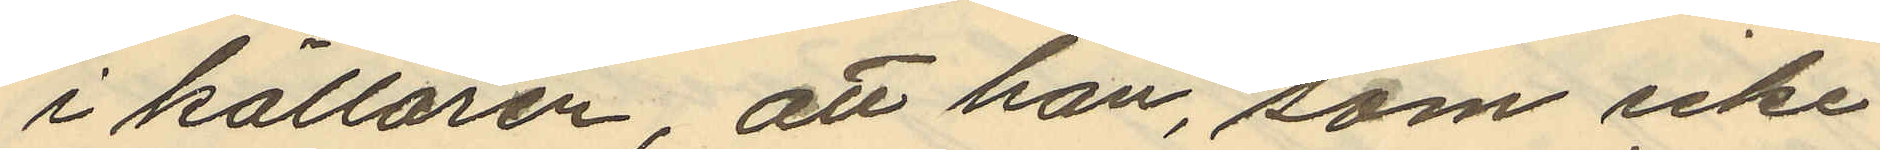i källaren, att han, som icke
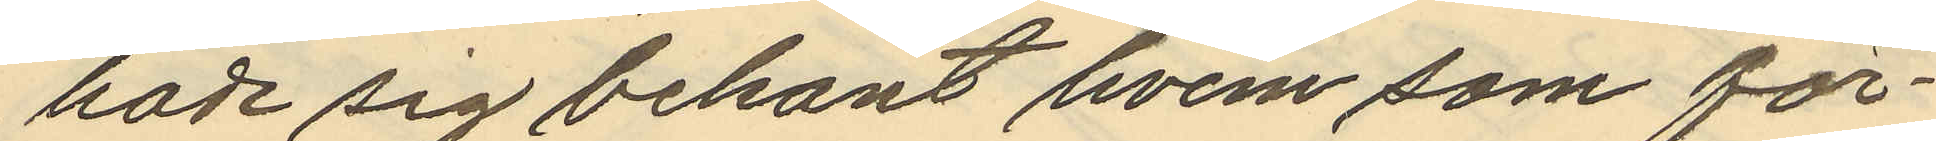hade sig bekant hvem som för¬
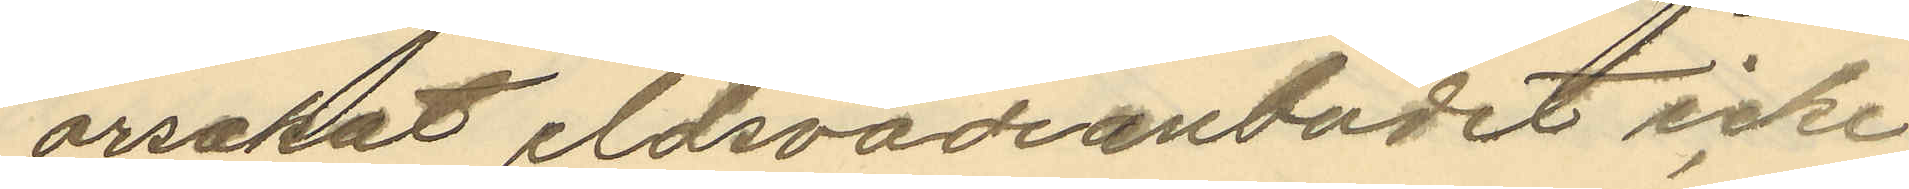orsakat eldsvådeanbudet icke
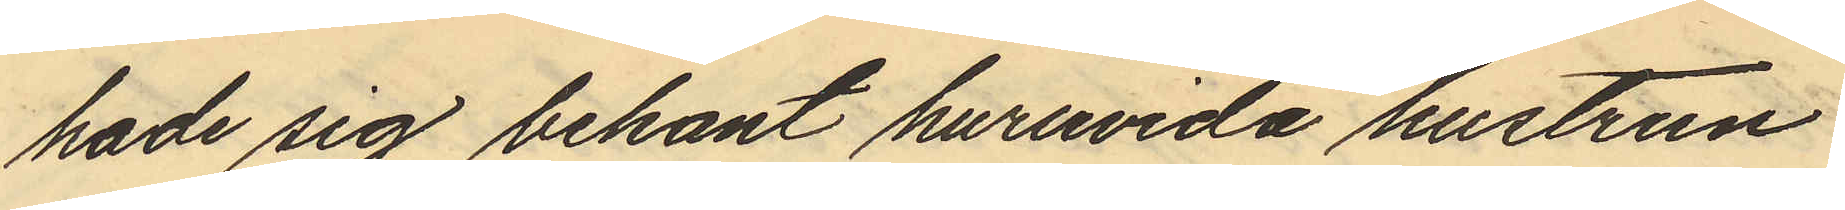hade sig bekant huruvida hustrun
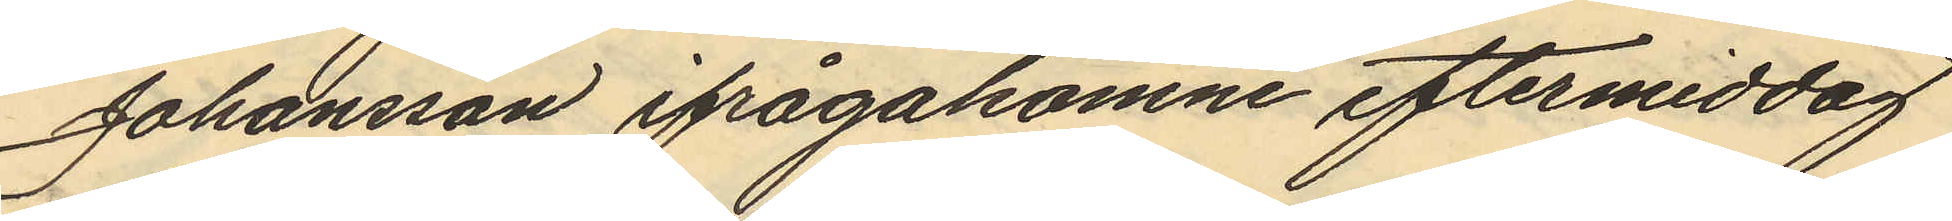Johansson ifrågakomne eftermiddag
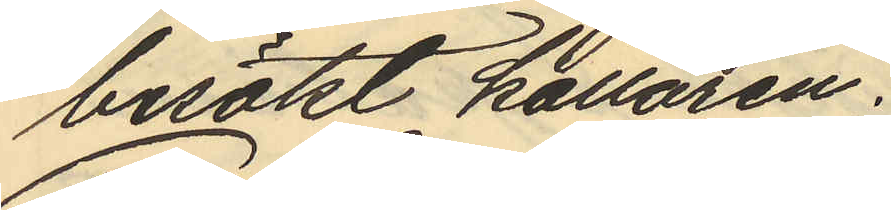besökt källaren.
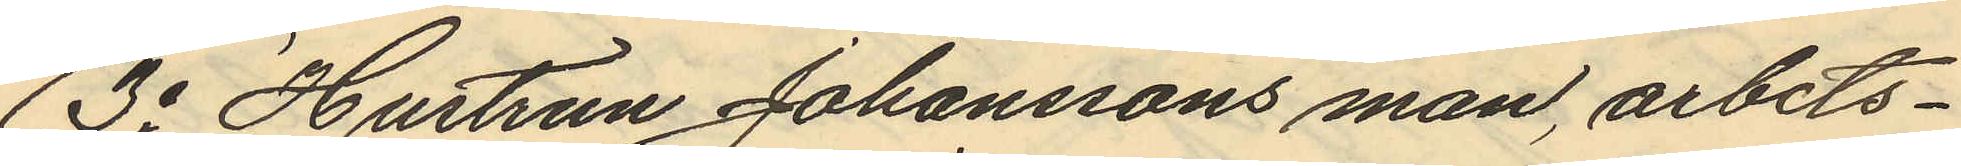3o Hustrun Johanssons man, arbets¬
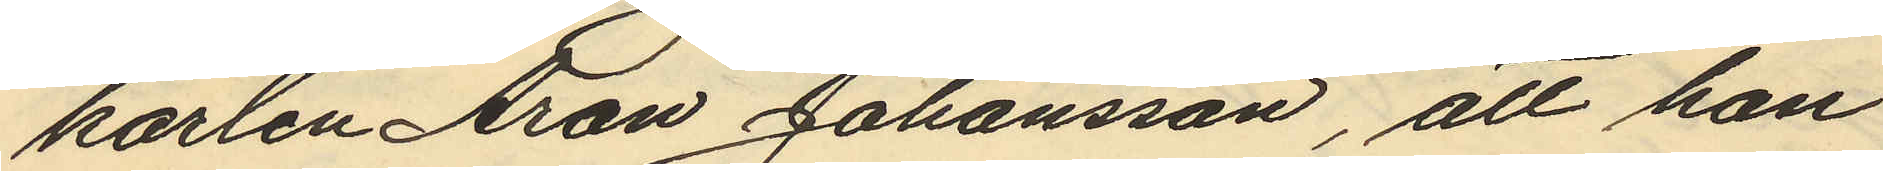karlen Aron Johansson, att han
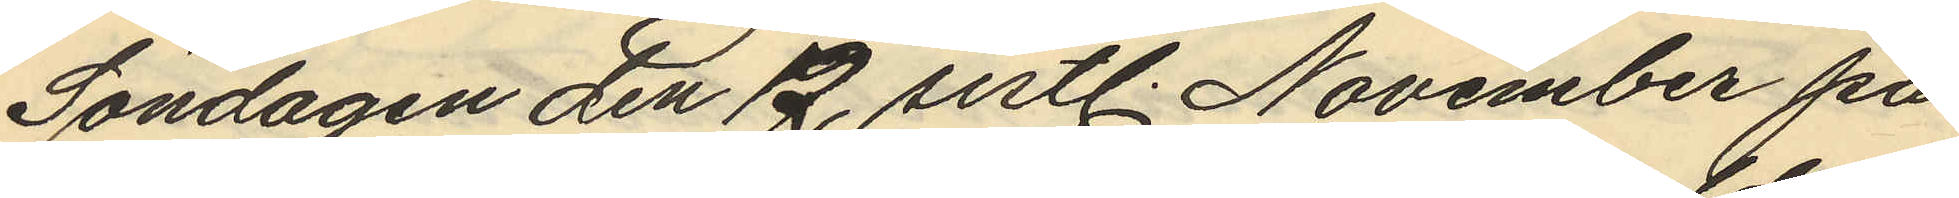Söndagen den 12 sistl. November på
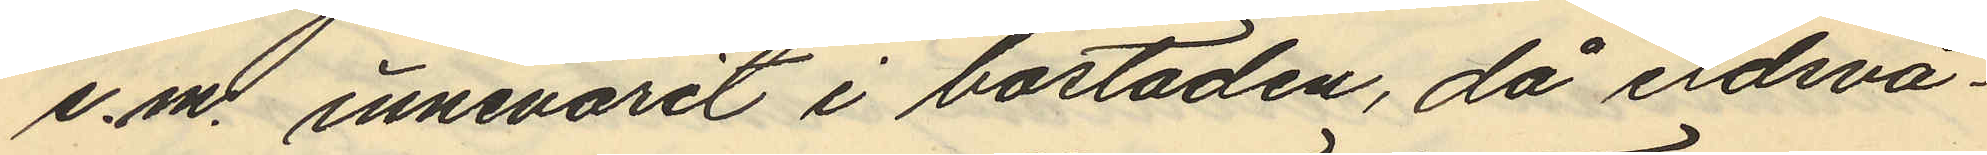e.m. innevarit i bostaden, då eldsvå¬
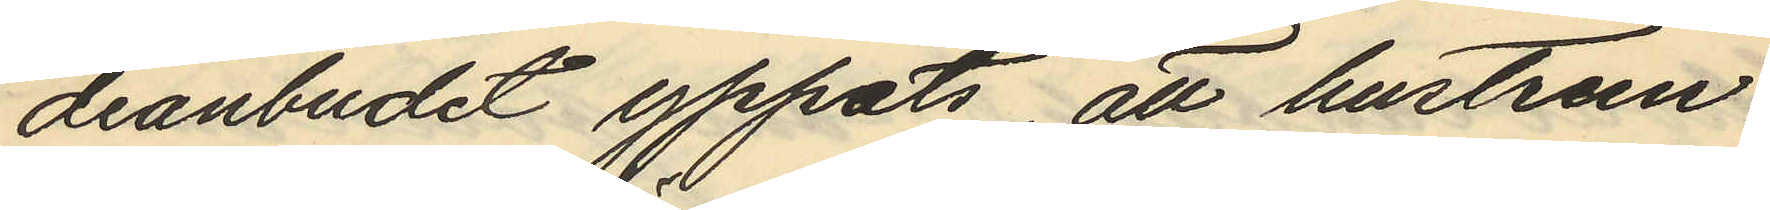deanbudet yppats, att hustrun
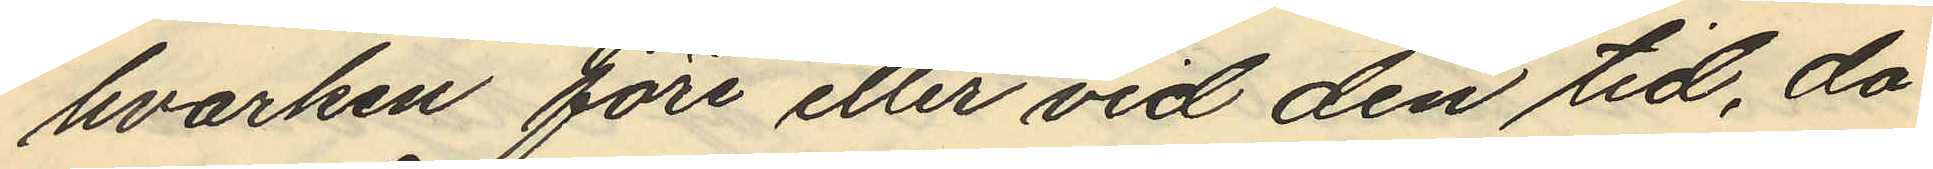hvarken före eller vid den tid, då
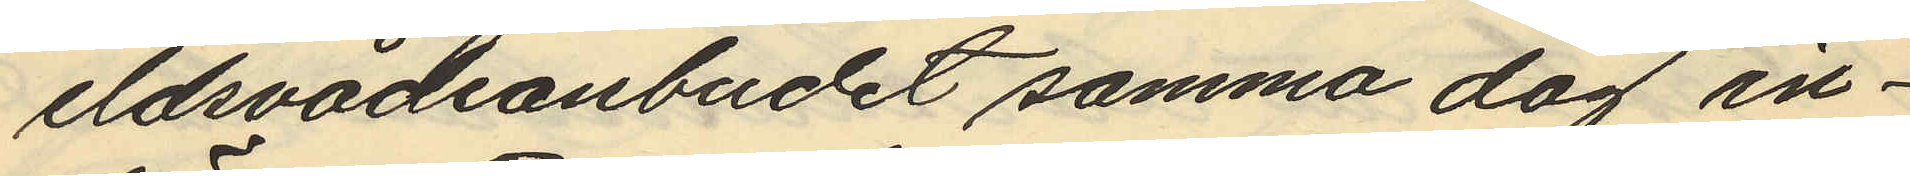eldsvådsanbudet samma dag in¬
